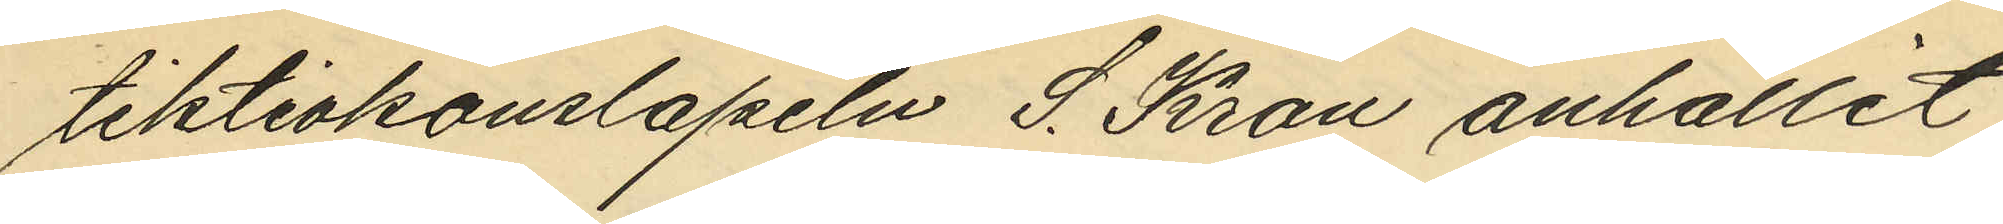tektivkonslapeln S. Kron anhållit
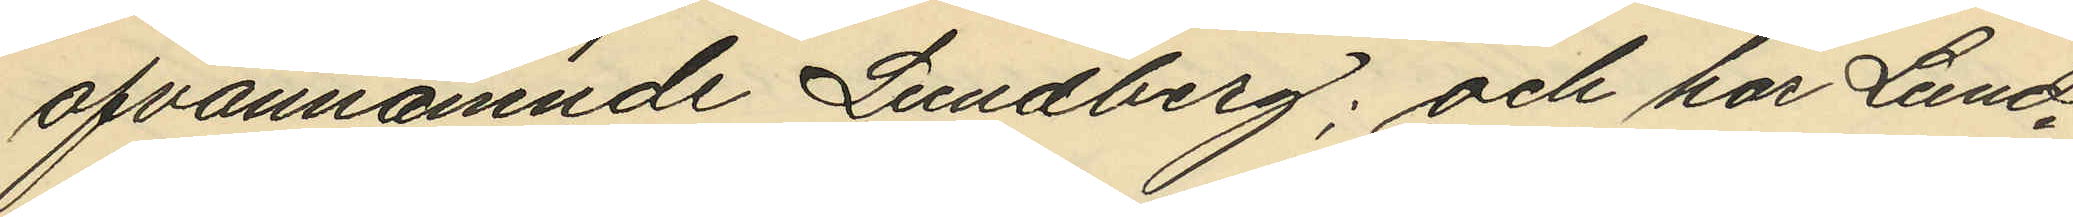ofvannämnde Lundberg; och har Lund¬
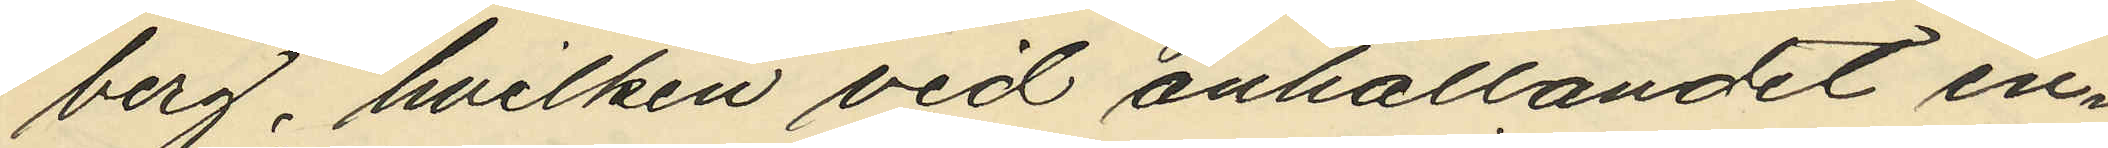berg, hvilken vid anhållandet in¬
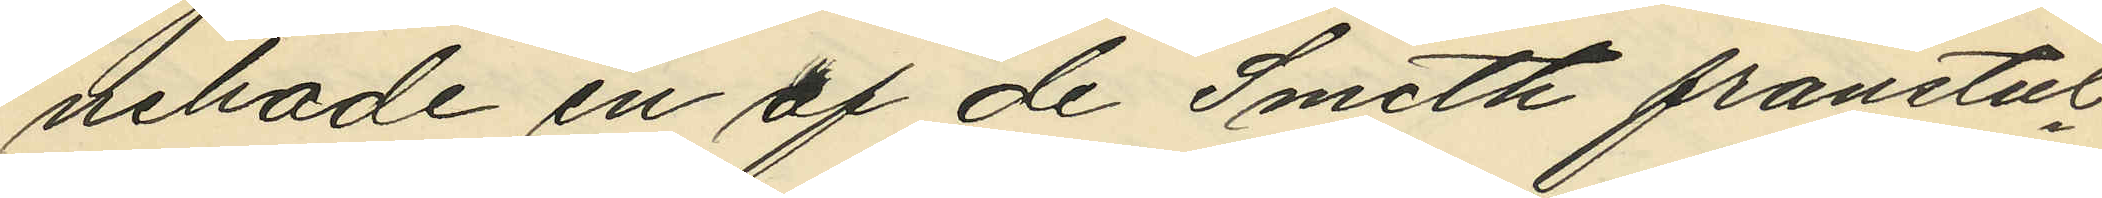nehade en af de Smith frånstul
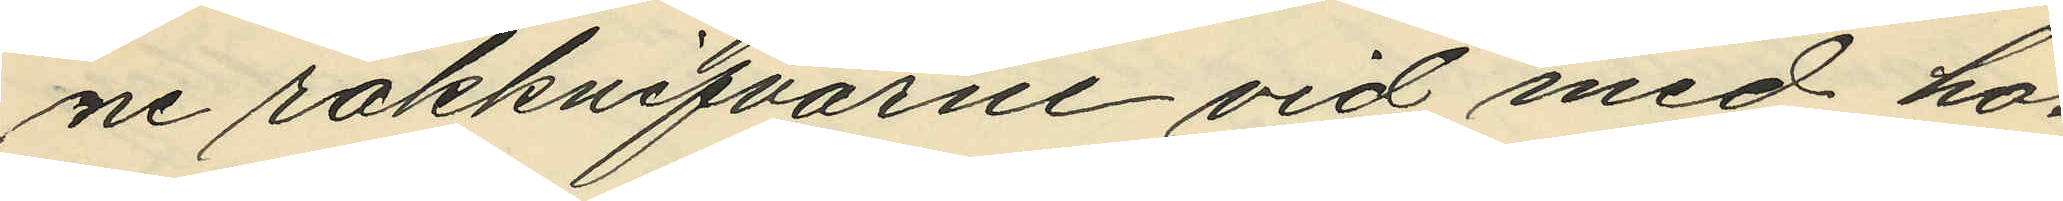ne rakknifvarne vid med ho¬
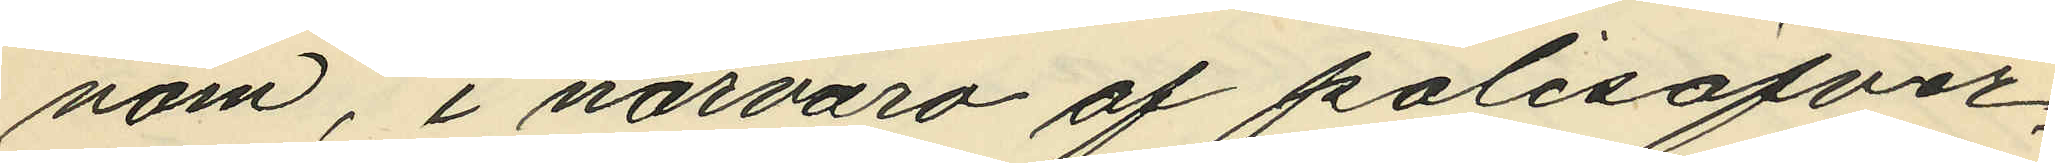nom, i närvaro af polisöfver¬
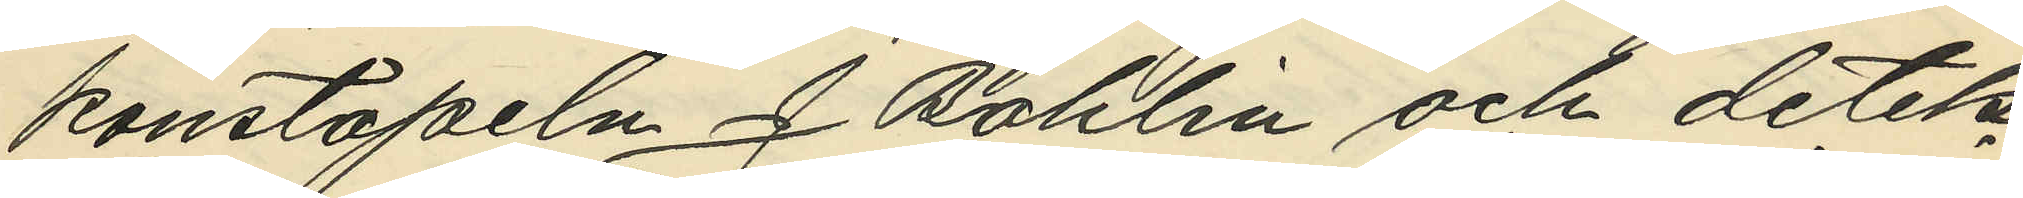konstapeln J. Bohlin och detek¬
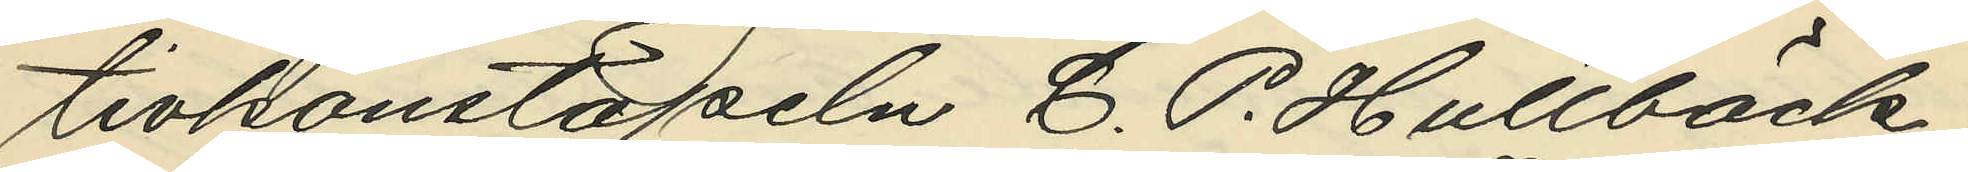tivkonstapeln C. P. Hultbäck,
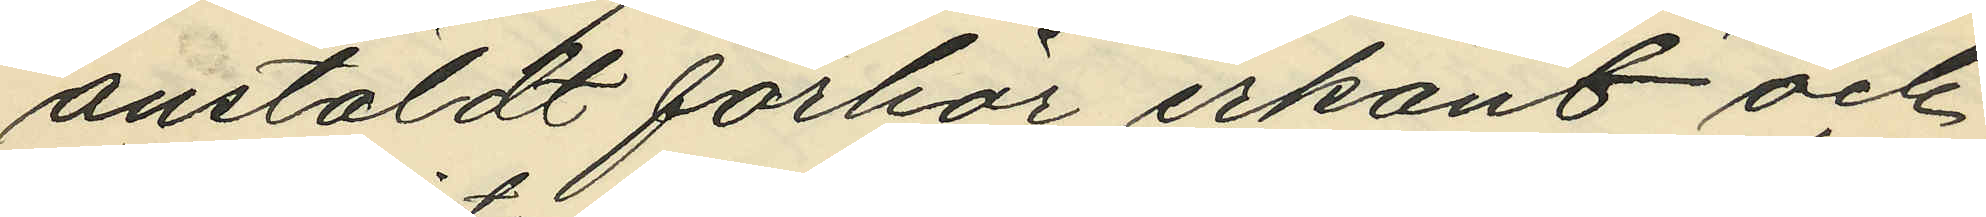anstäldt förhör erkänt och
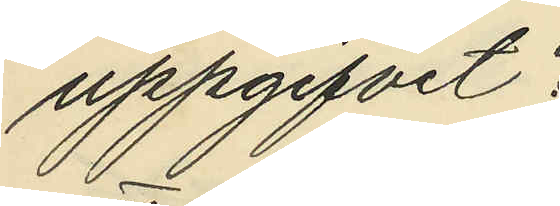uppgifvit:
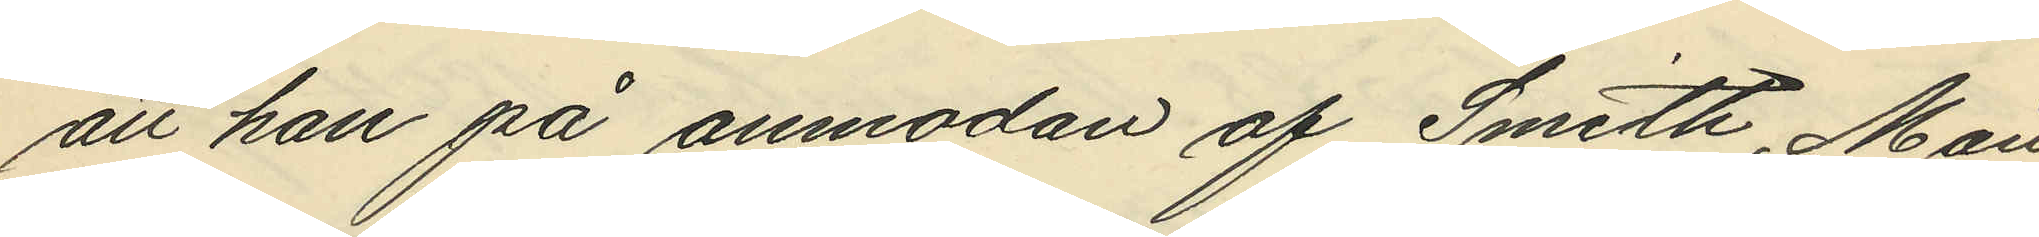att han på anmodan af Smith, Mån
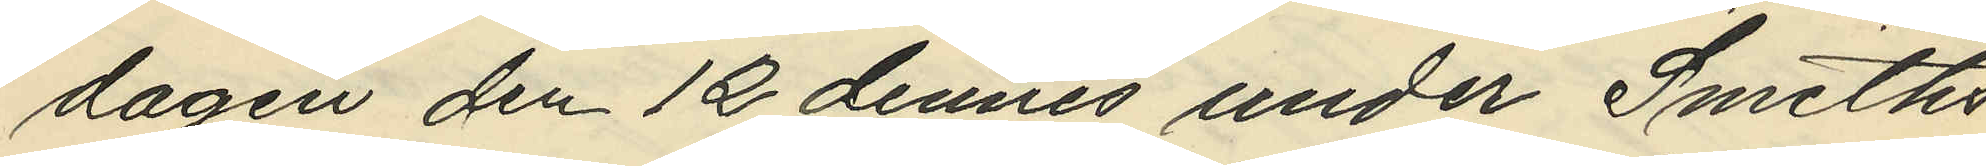dagen den 12 dennes under Smiths
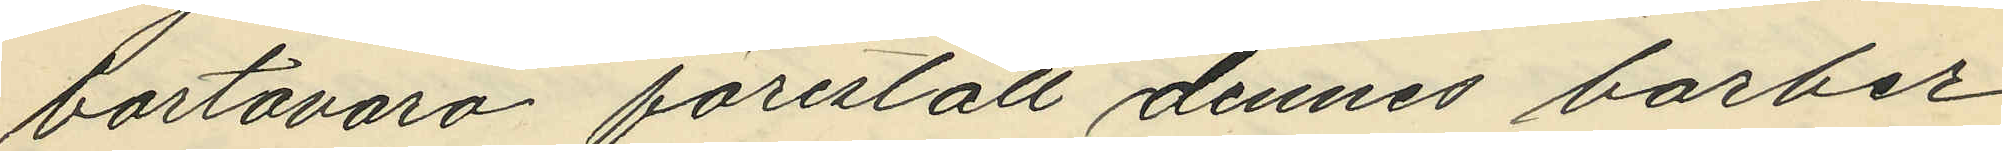bortavaro förestått dennes barber¬
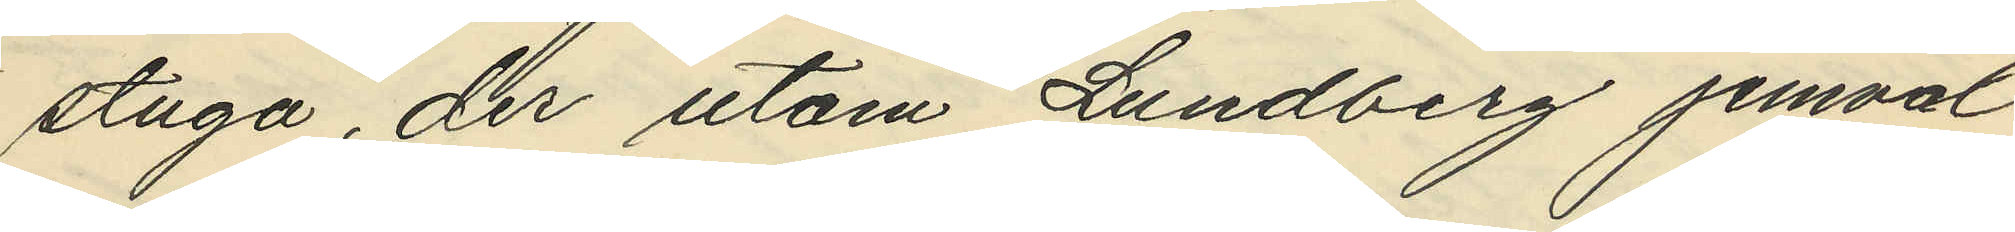stuga, der utom Lundberg jemväl
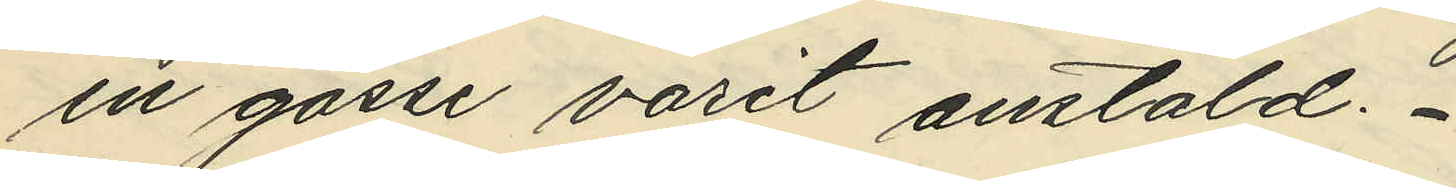en gosse varit anstäld.
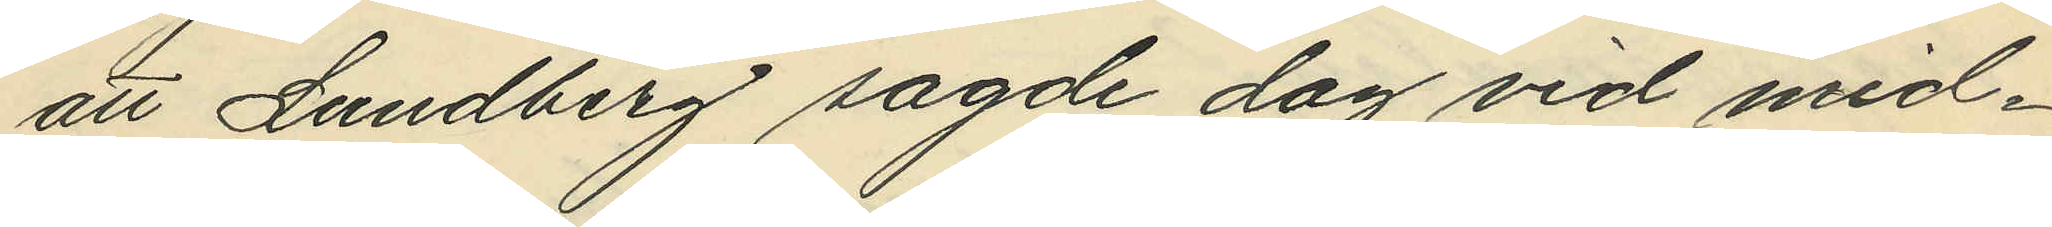att Lundberg sagde dag vid mid¬
